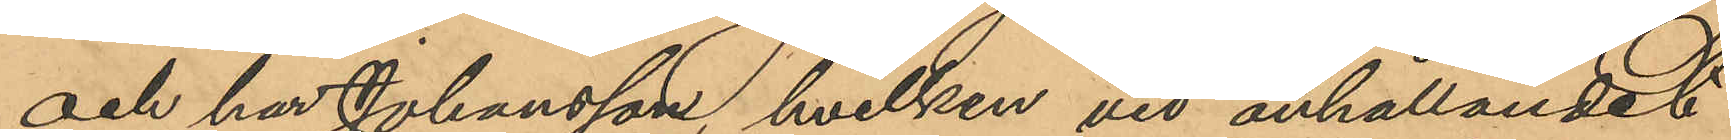och har Johansson, hvilken vid anhållandet
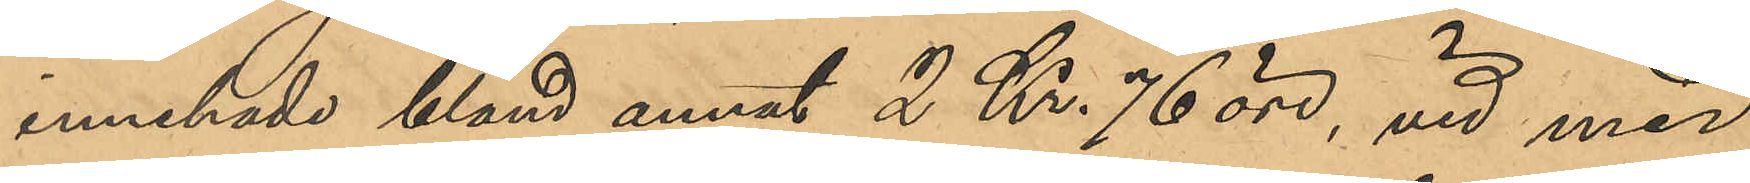innehade bland annat 2 Kr. 76 öre, vid med
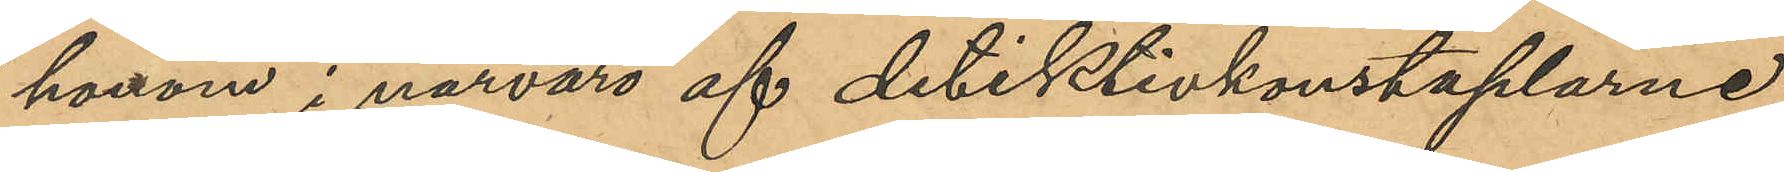honom i närvaro af detektivkonstaplarne
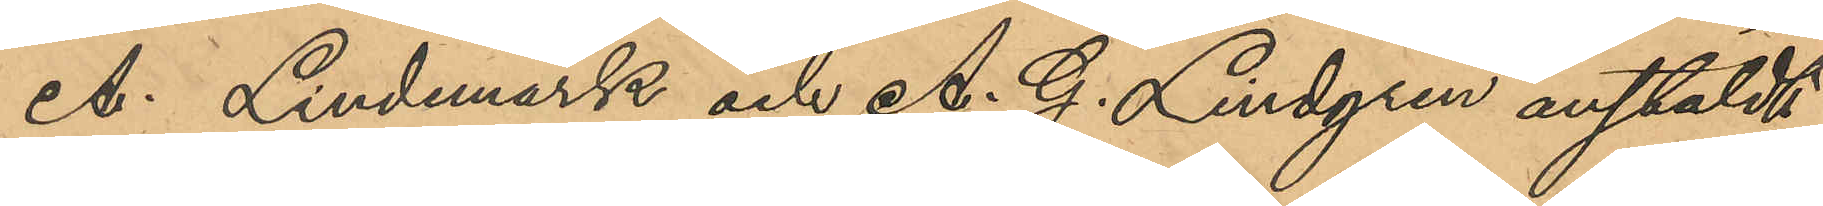A. Lindmark och A. G. Lindgren anstäldt
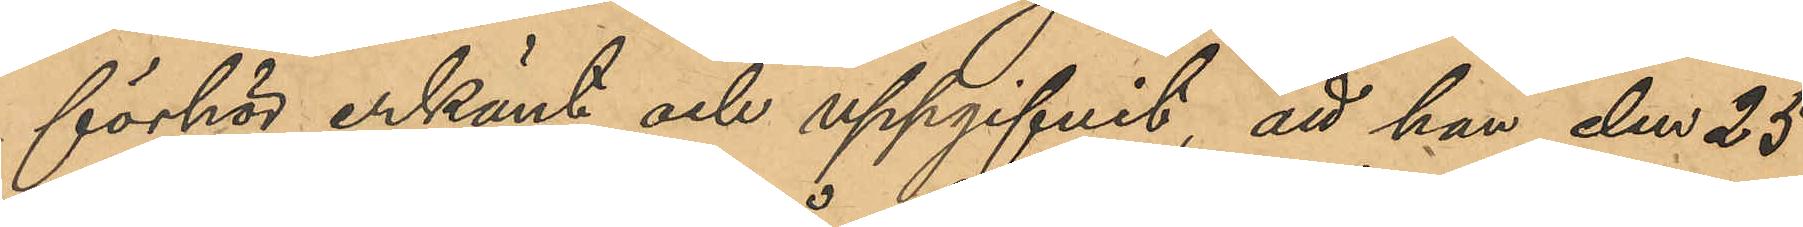förhör erkänt och uppgifvit, att han den 25
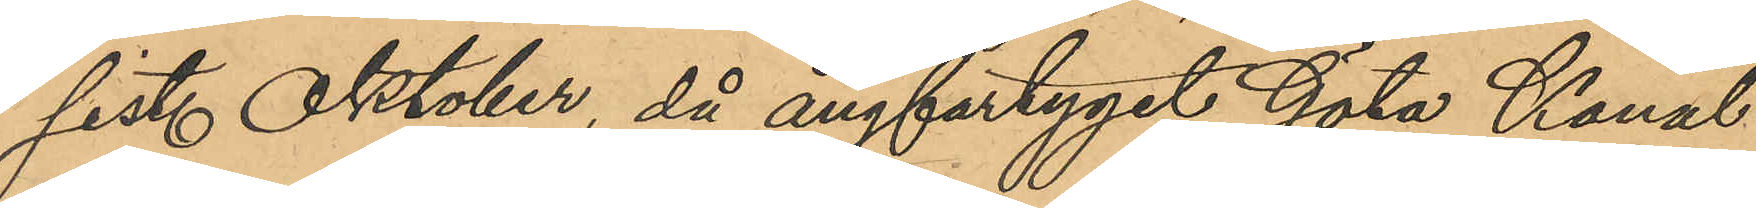sist. Oktober, då ångfartyget Göta Kanal
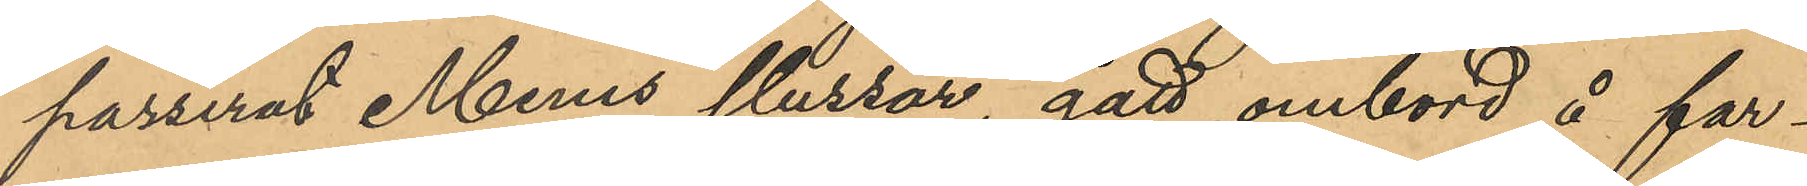passerat Mems slussar, gått ombord å far¬
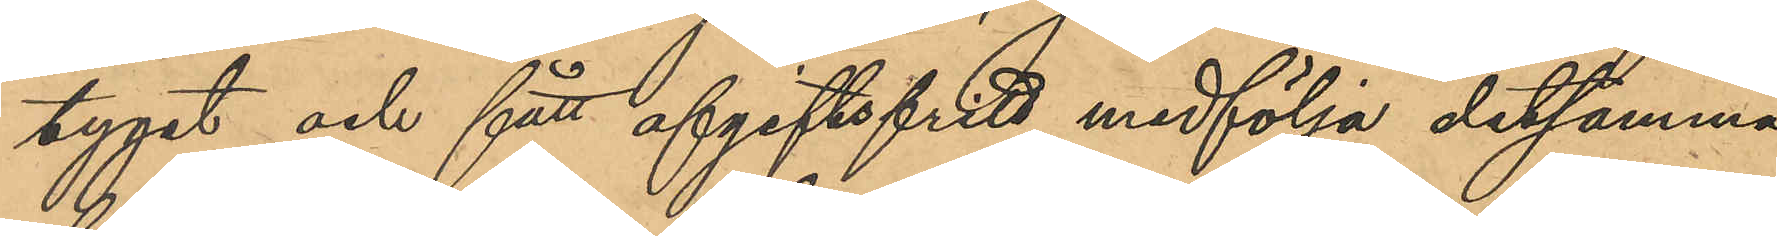tyget och fått afgiftsfritt medfölja detsamma
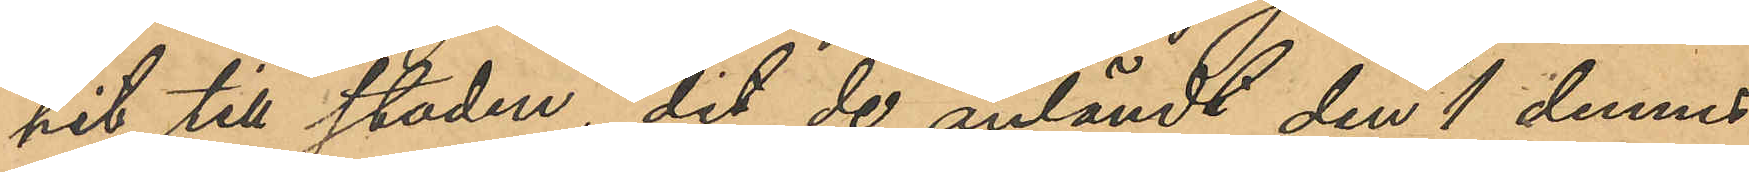hit till staden, dit de anländt den 1 dennes,
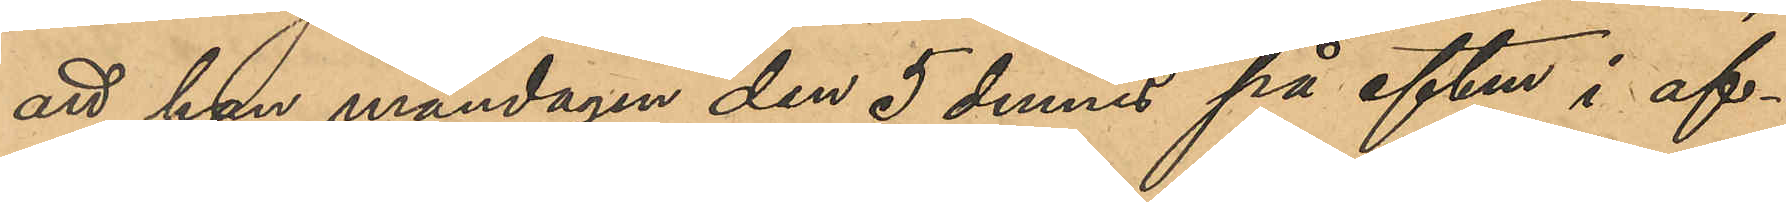att han måndagen den 5 dennes på eftm i af¬
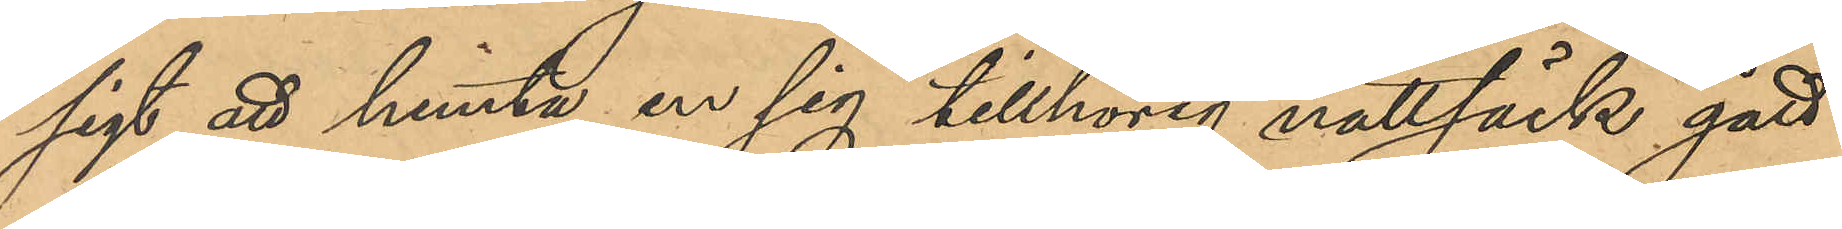sigt att hemta en sig tillhörig nattsäck gått
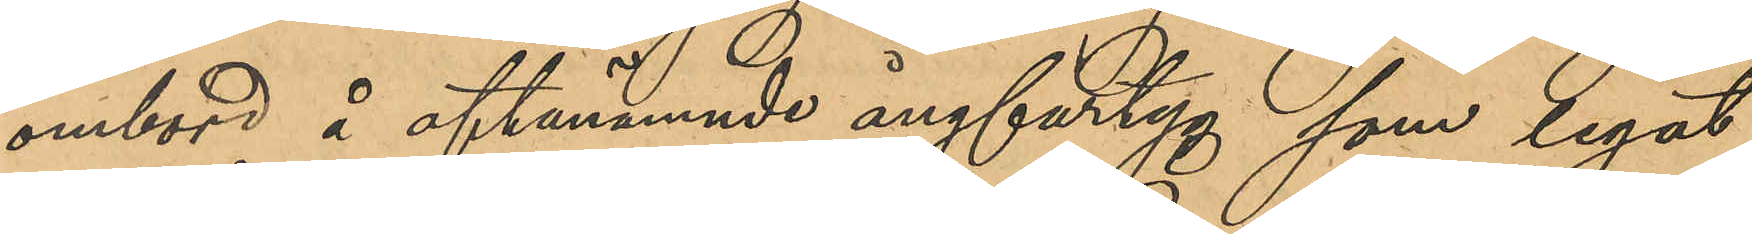ombord å oftanämnde ångfartyg som legat
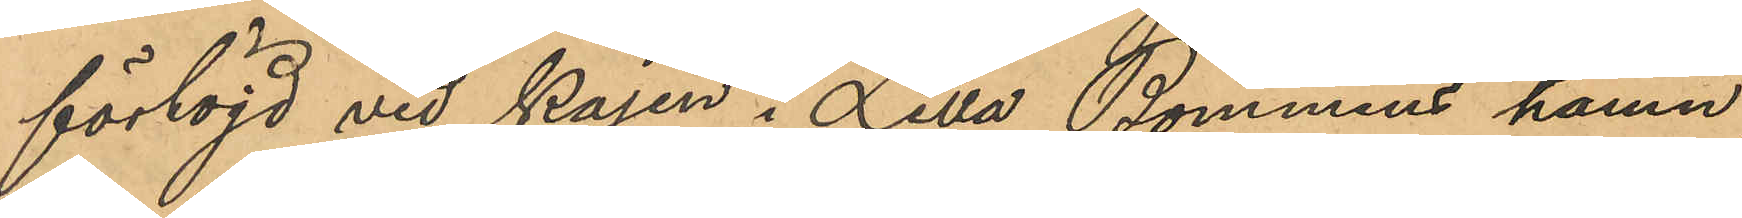förtöjd vid kajen i Lilla Bommens hamn;
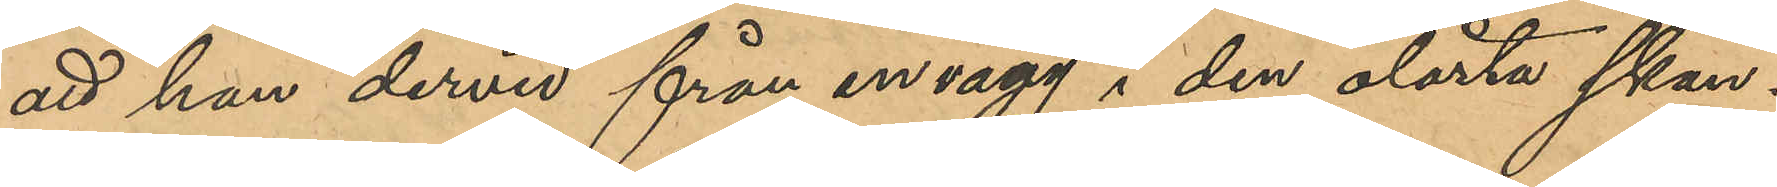att han dervid från en vägg i den olåsta skan¬
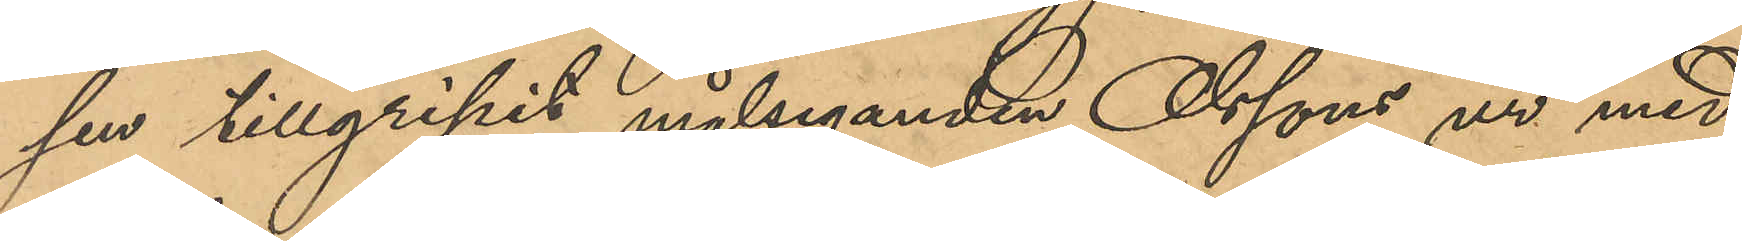sen tillgripit målseganden Olssons ur med
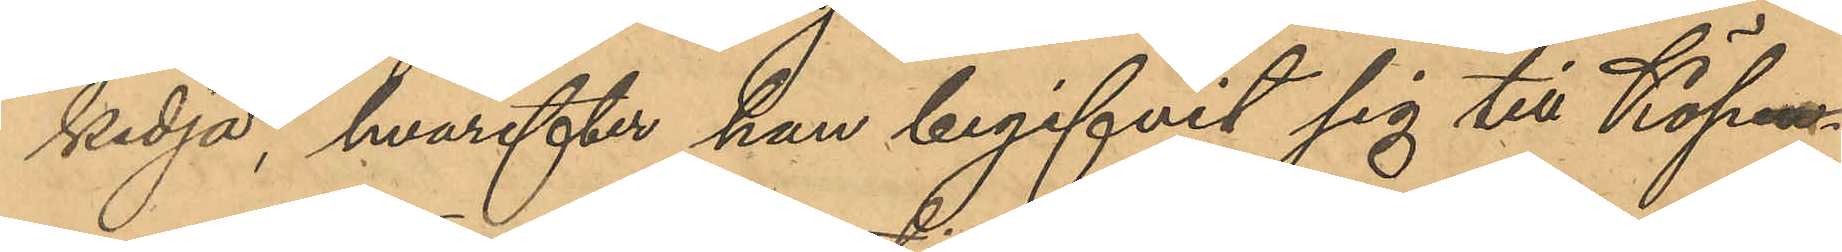kedja, hvarefter han begifvit sig till Köp¬
